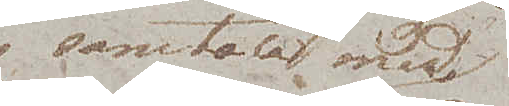samtala med
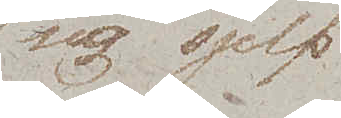sig sjelf
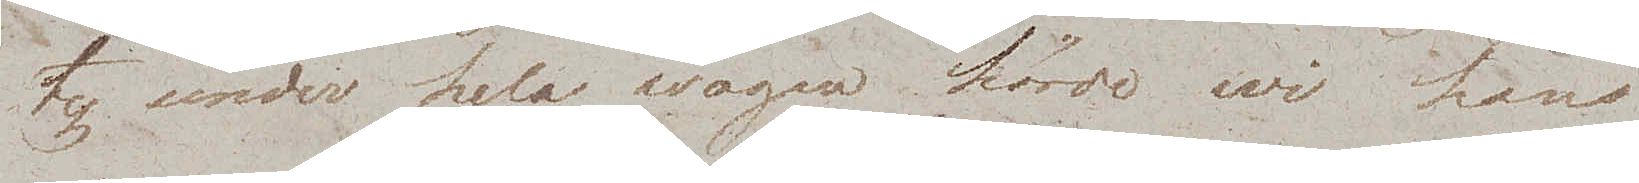ty under hela wägen hörde wi hans
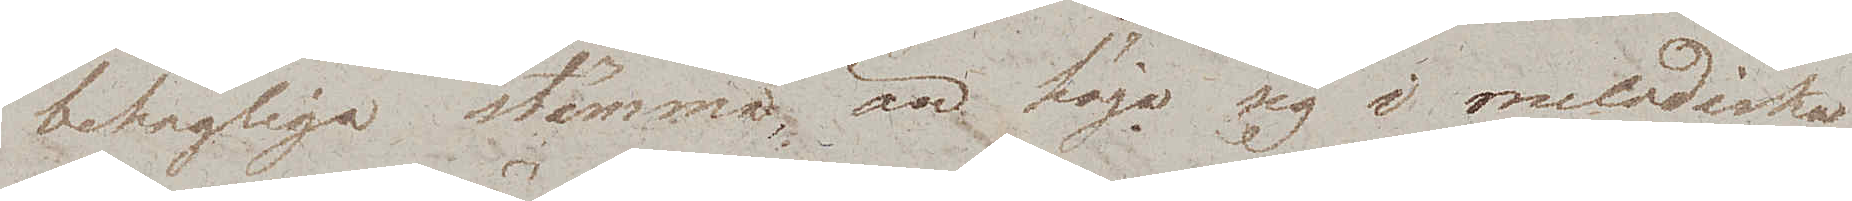behagliga stämma, än höja sig i melodiska
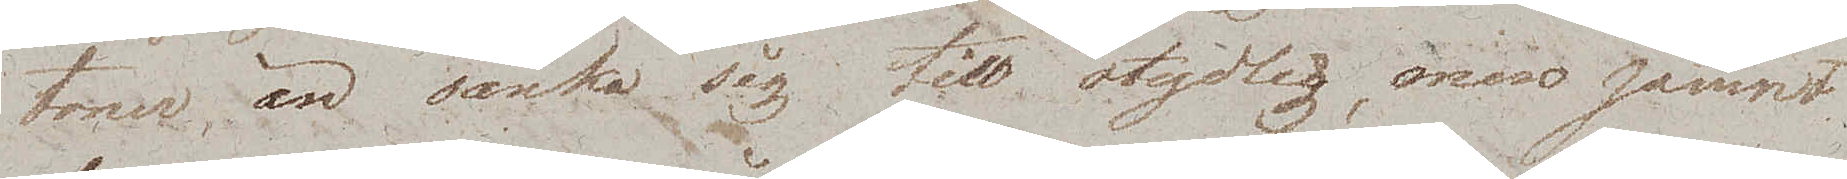toner, än sänka sig till otydlig, men jämnt
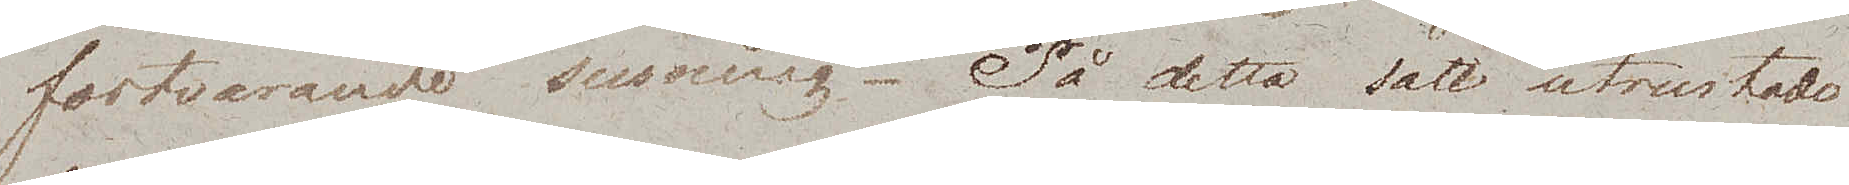fortvarande susning. På detta sätt utrustade
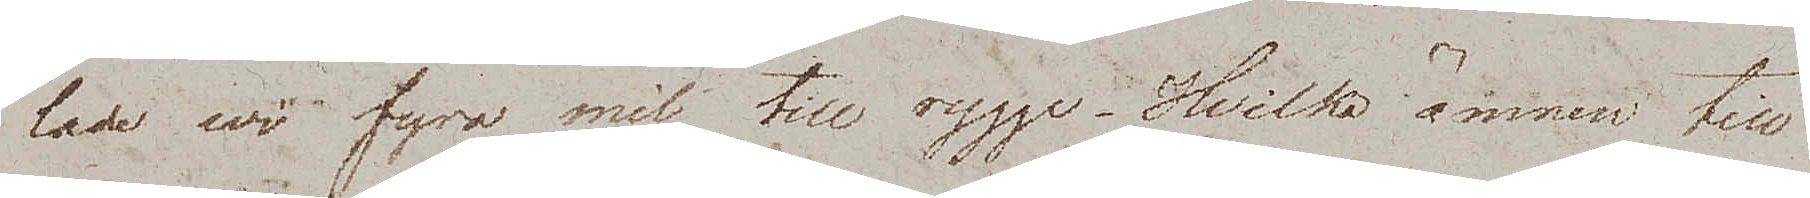lade wi fyra mil till rygga. Hvilka ämnen till
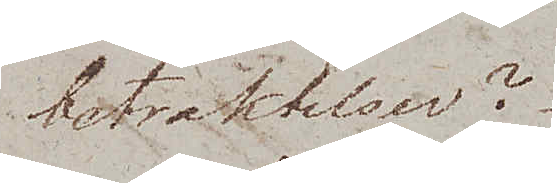betraktelser?
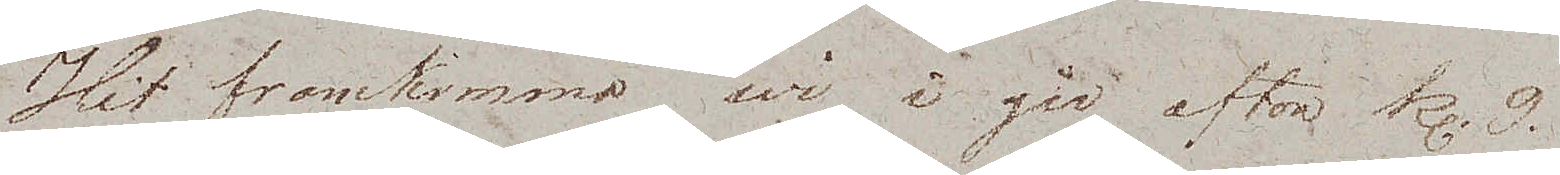Hit framkommo wi i går afton kl. 9
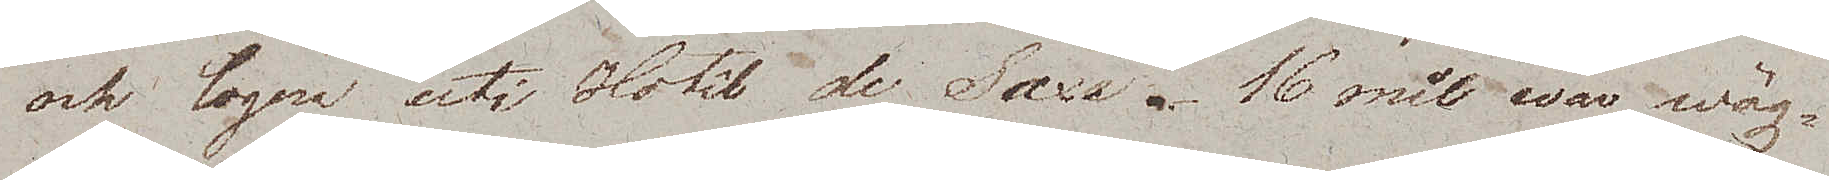och logera uti Hotêl de Saxe. 16 mil war wäg¬
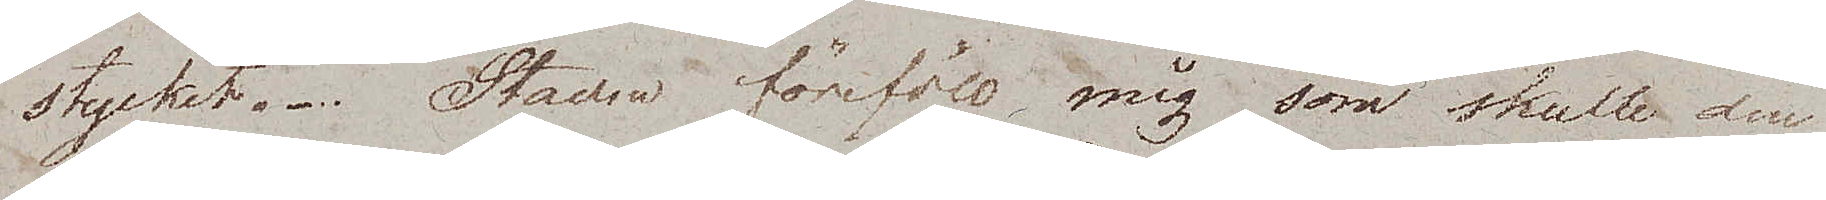stycket. Staden föreföll mig som skulle den
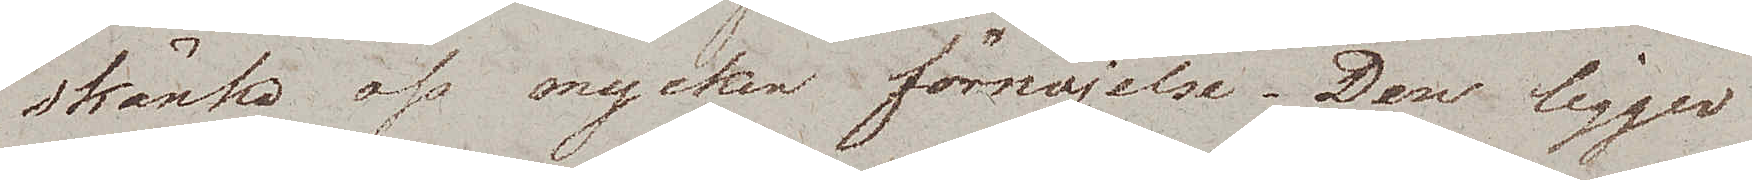skänka oss mycken förnöjelse. Den ligger
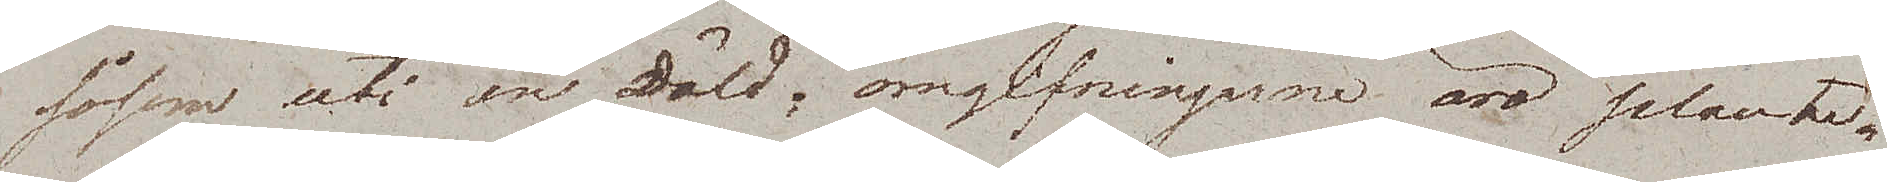såsom uti en däld; omgifningarne äro plante¬
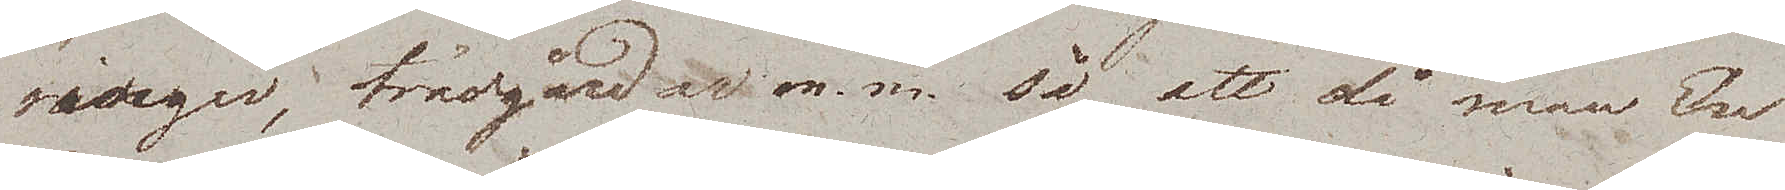ringar, trädgårdar m. m. så att då man En
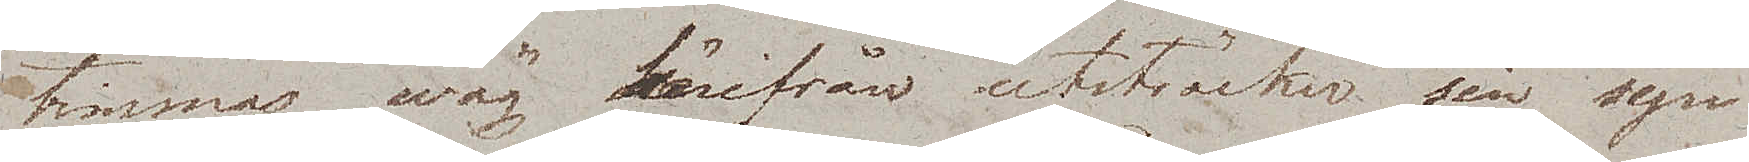timmas wäg härifrån utsträcker sin syn
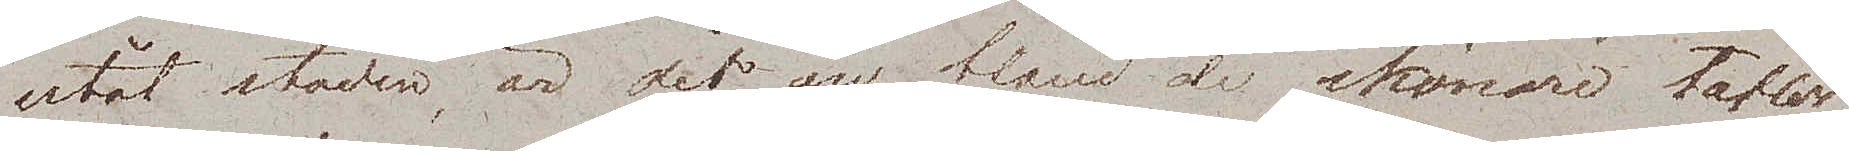utåt staden, är det en bland de skönare taflor
